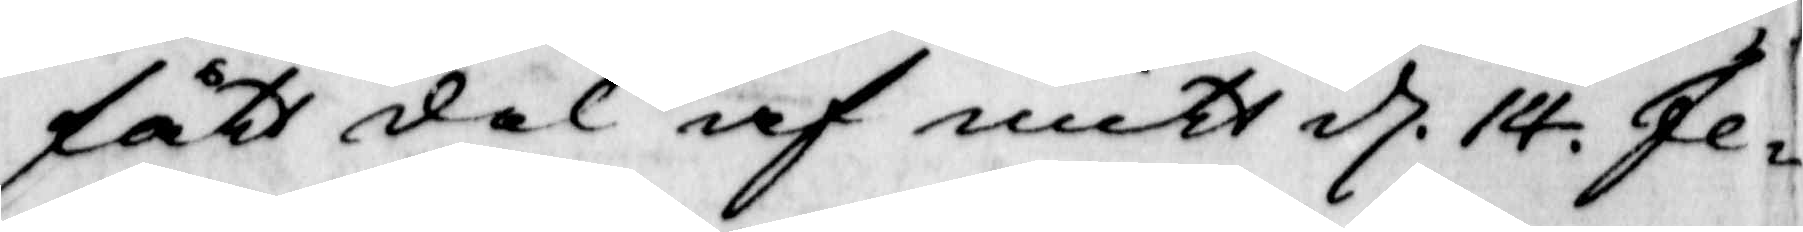fått del af mitt d. 14. Fe¬
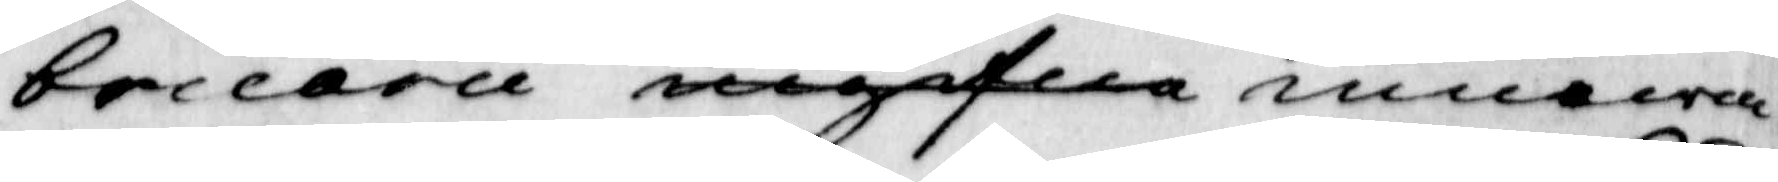bruarii ingifne inneva¬
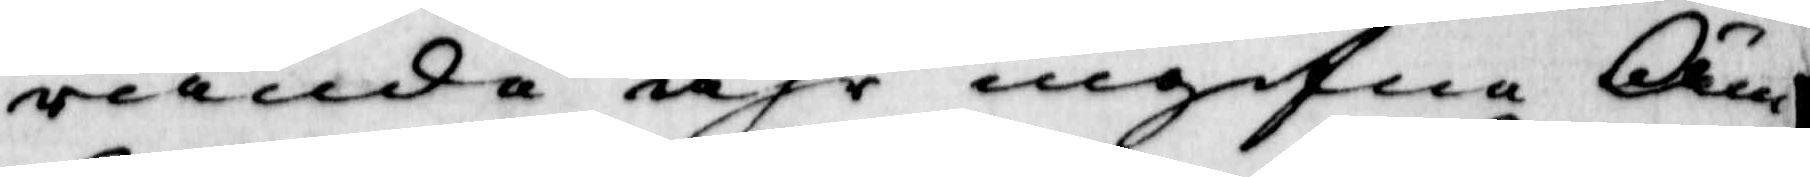rande åhr ingifne Äm¬
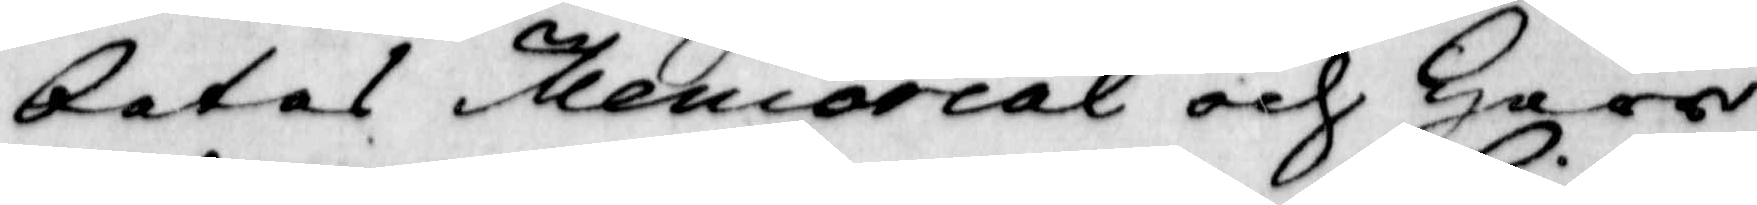betes Memorial och Herr
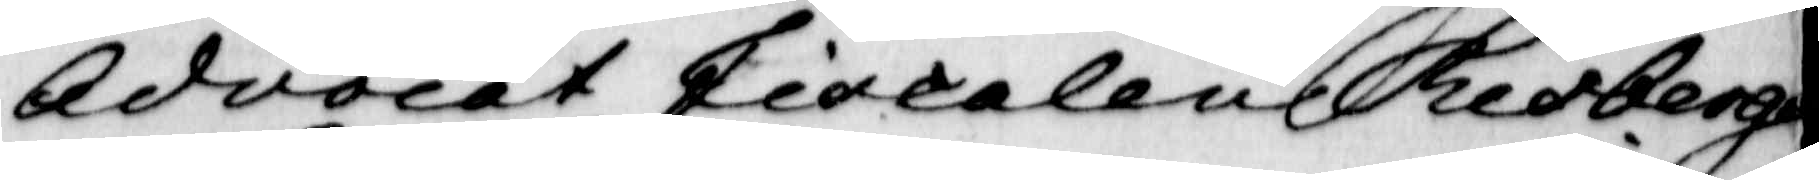Advocat Fiscalen Lidberg
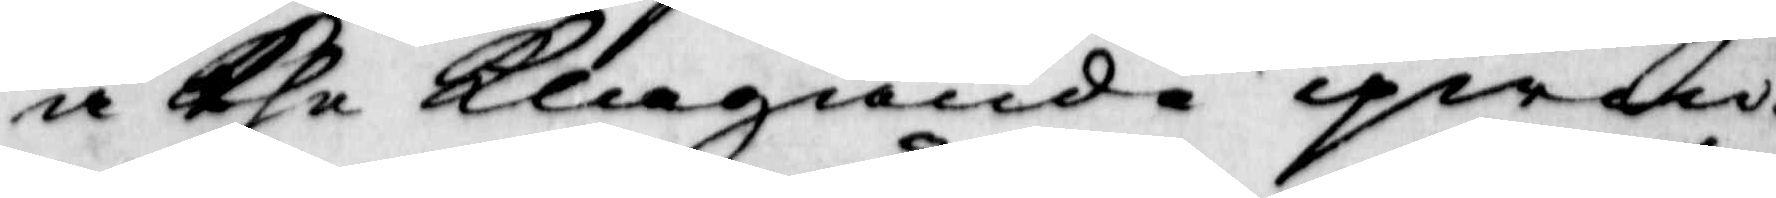å The klagande qwin¬
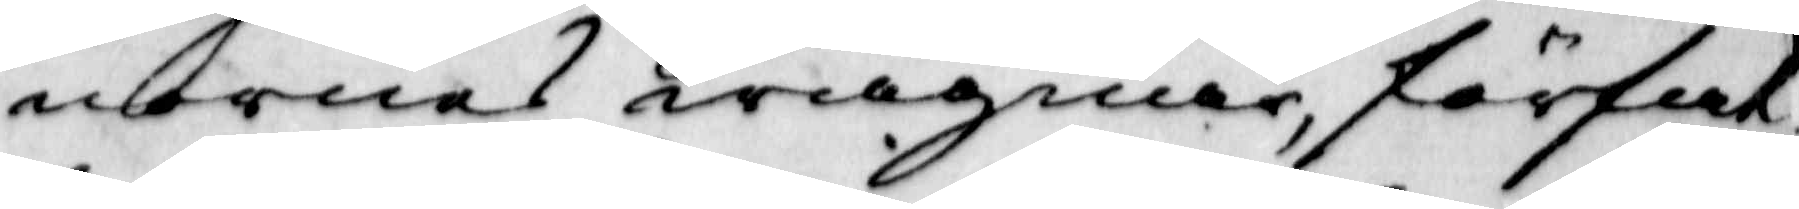nornas wägnar, förfat¬
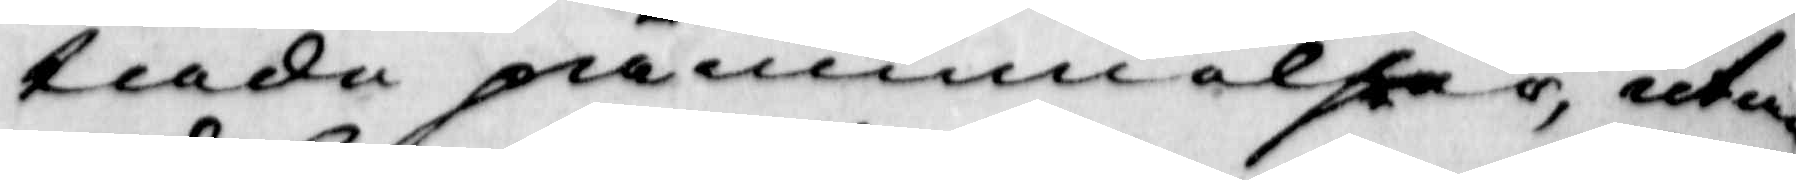tade påminnelser, utan
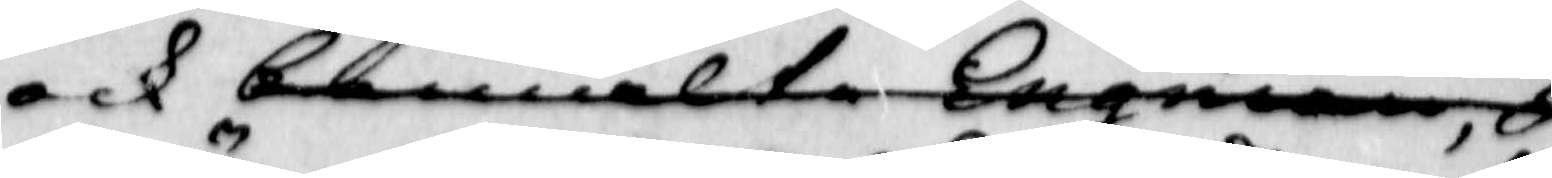ock bemälte Engman, T
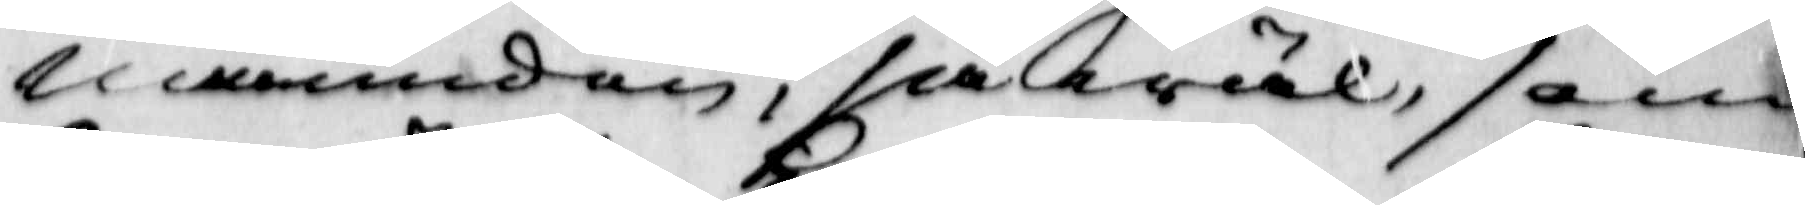nämnden, såwäl, som
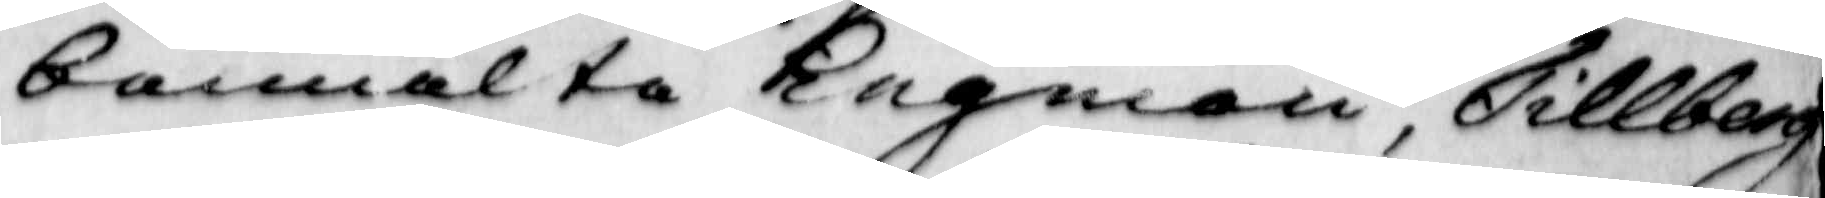bemälte Engman, Tillberg
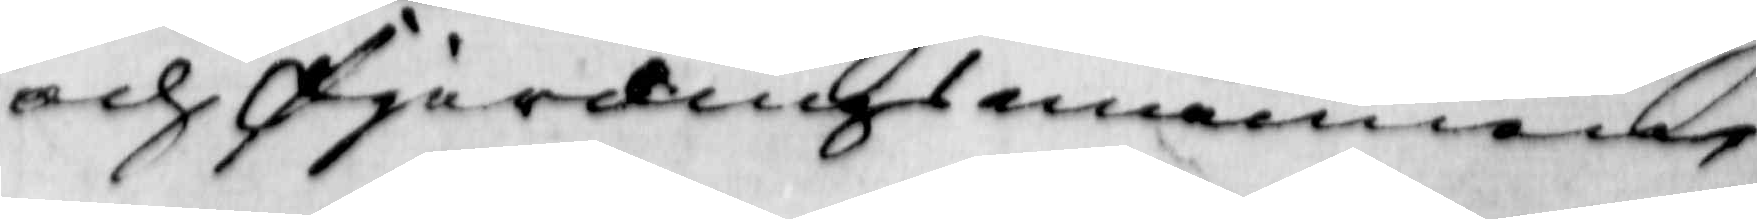och Fjärdingsmännens
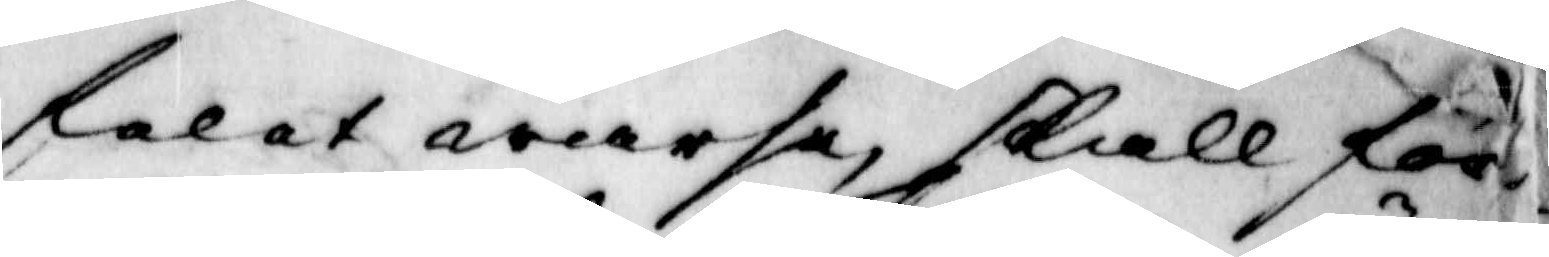felet warse, skall för¬
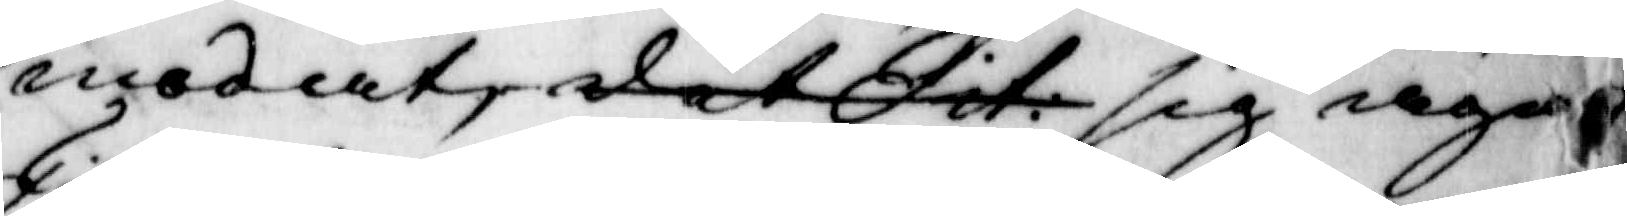modat, det Fit: sig äga
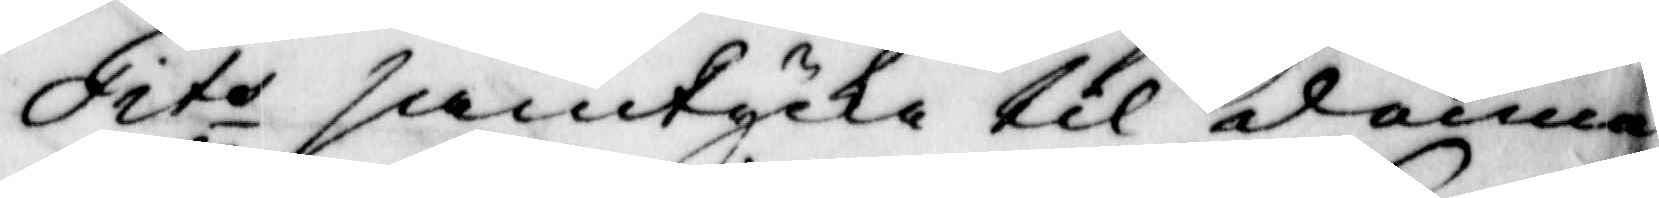Fits samtycke til denna
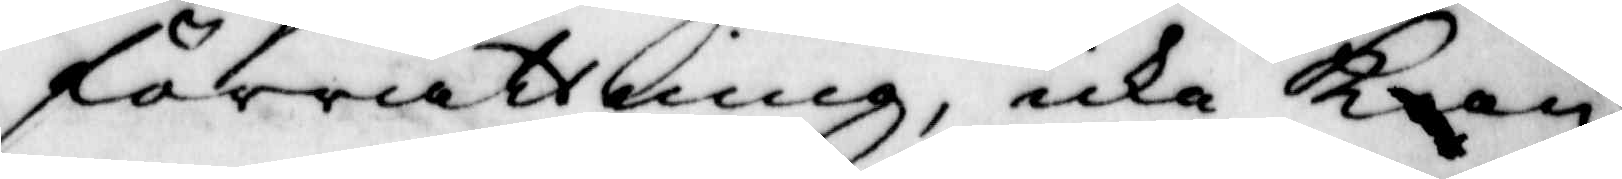förrättning, icke Kan
